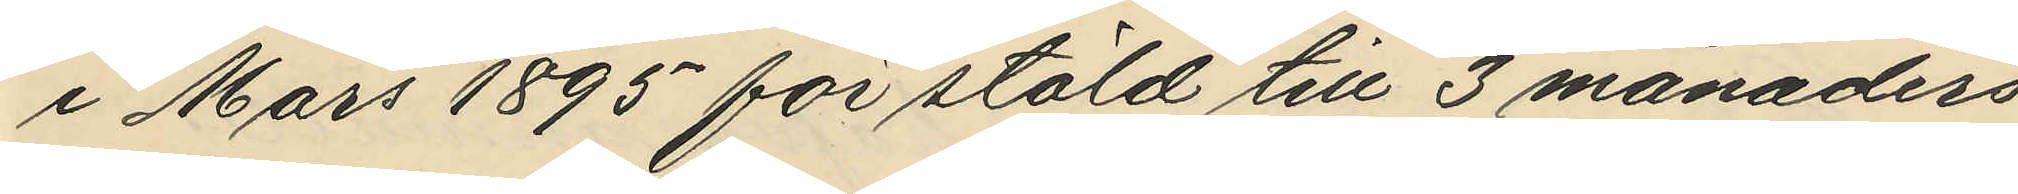i Mars 1895 för stöld till 3 månaders
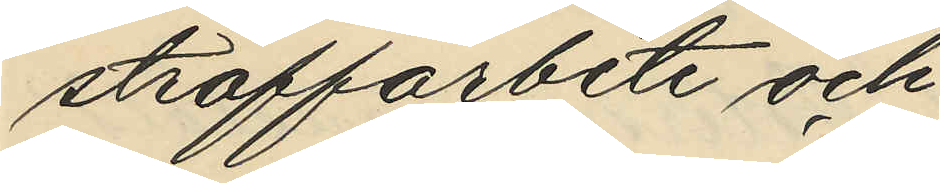straffarbete och
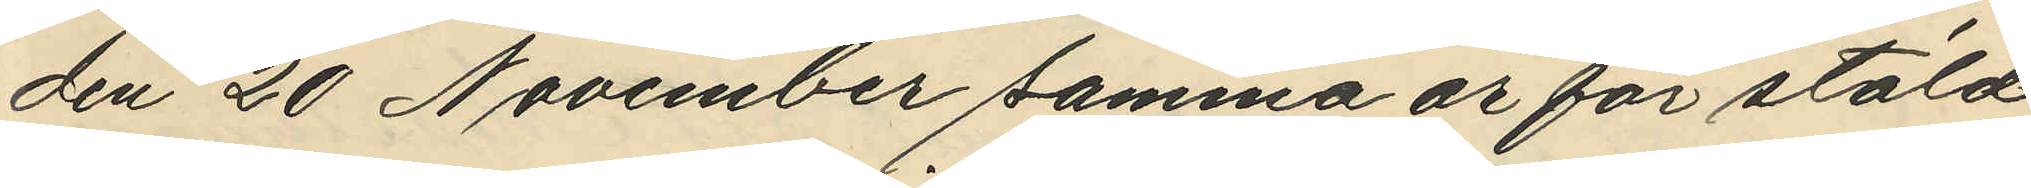den 20 November samma år för stöld
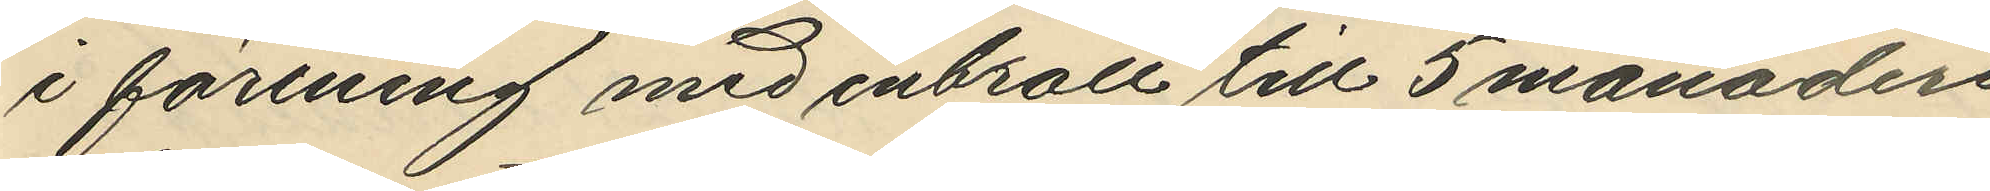i förening med inbrott till 5 månaders
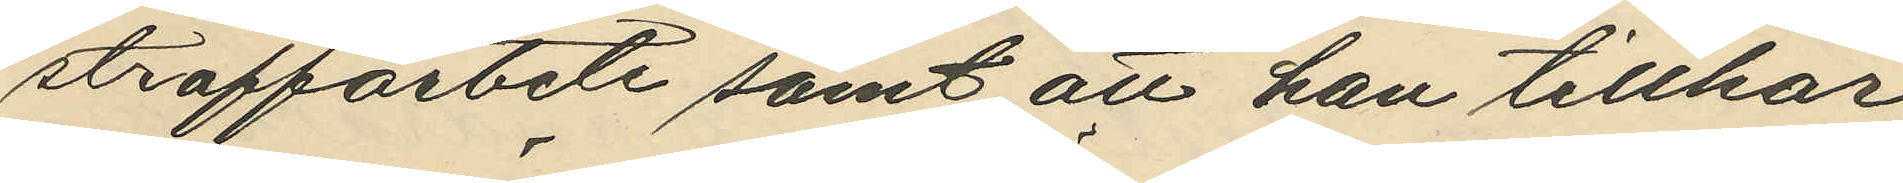straffarbete samt att han tillhör
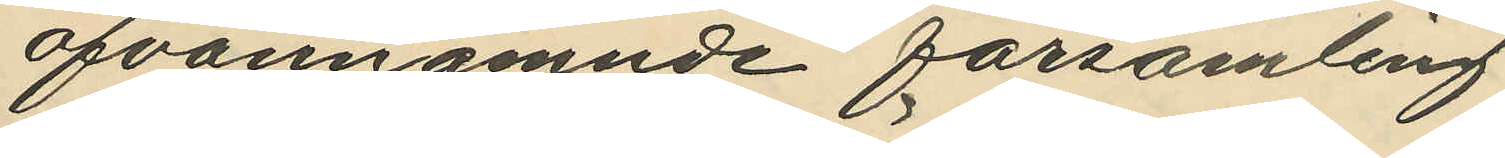ofvannämnde församling.
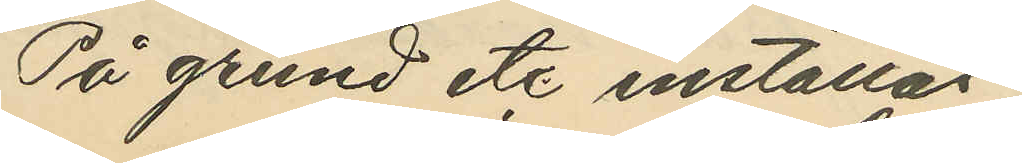På grund etc inställas
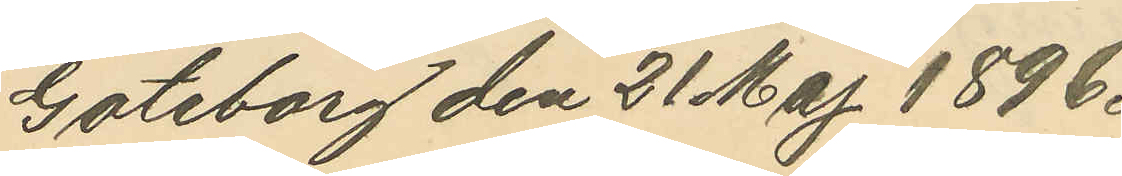Göteborg den 21 Maj 1896.
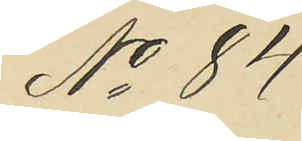No 84
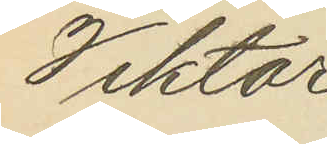Viktor
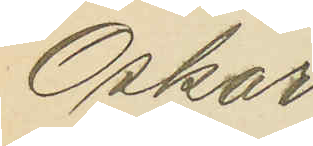Oskar
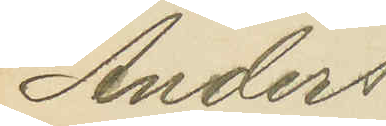Anders¬
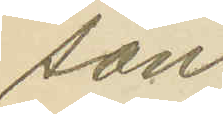son
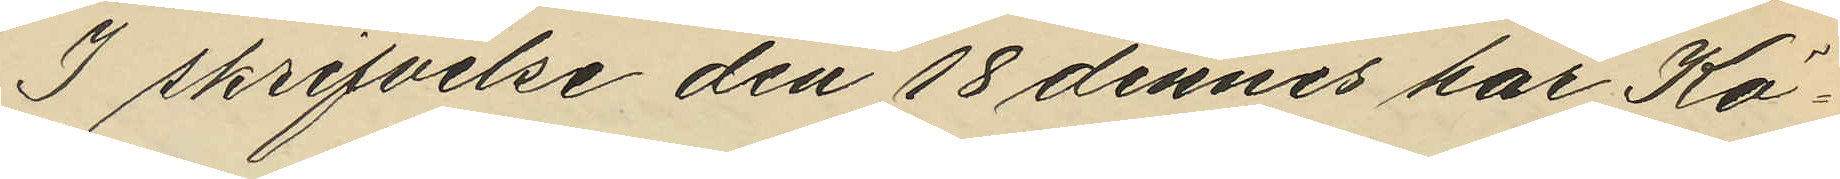I skrifvelse den 18 dennes har Kö¬
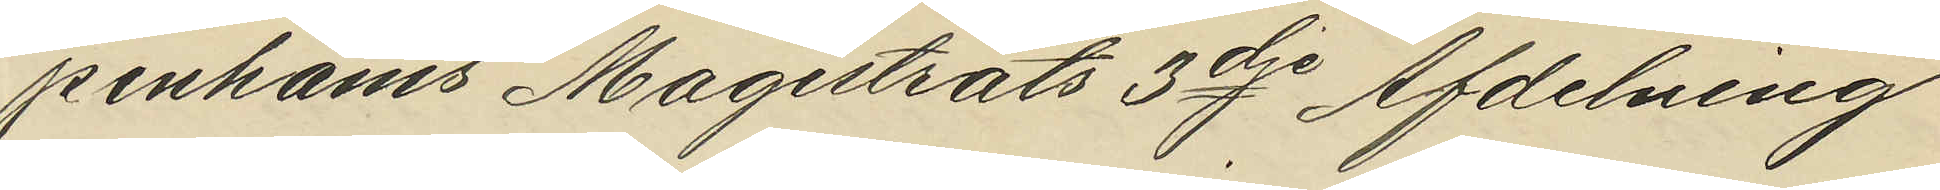penhams Magistrats 3dje Afdelning
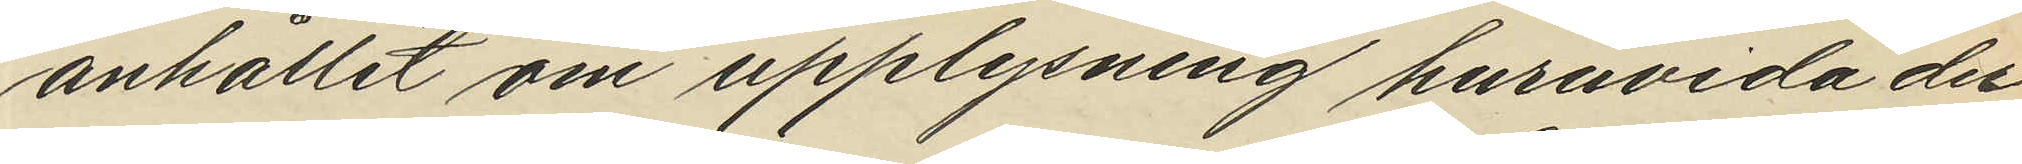anhållit om upplysning huruvida der
